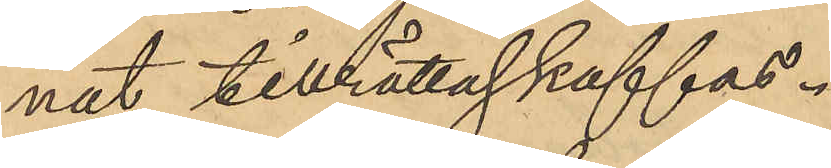nat tillrättaskaffas.
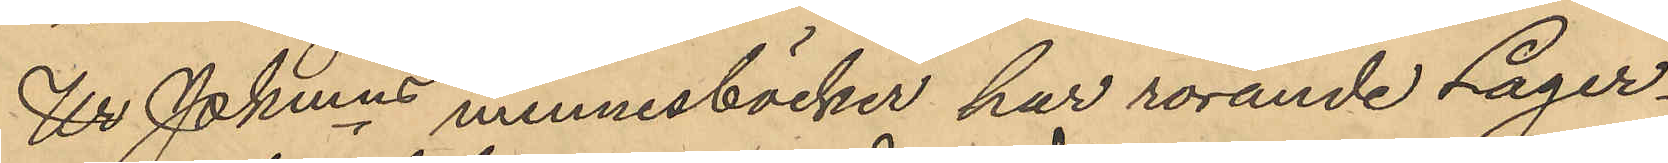Ur Pkmns minnesböcker har rörande Lager¬
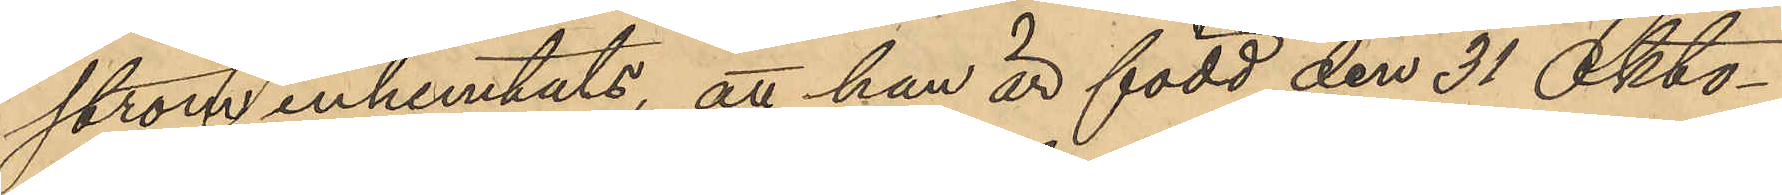ström inhemtats, att han är född den 31 Okto¬
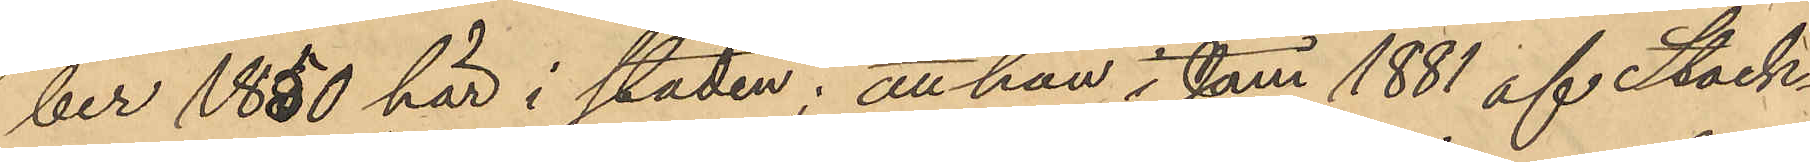ber 1850 här i staden; att han i Juni 1881 af Stock¬
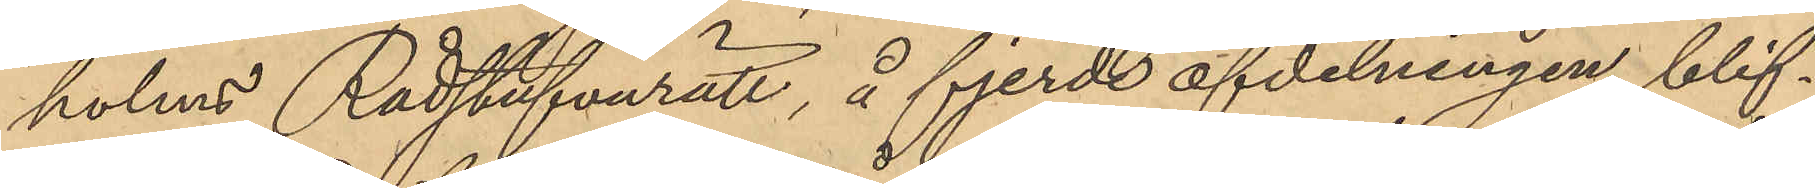holms Rådstufvurätt, å fjerde afdelningen blif¬
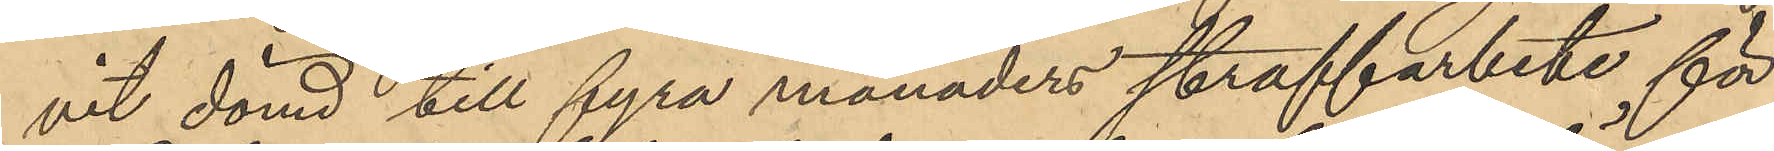vit dömd till fyra månaders straffarbete för
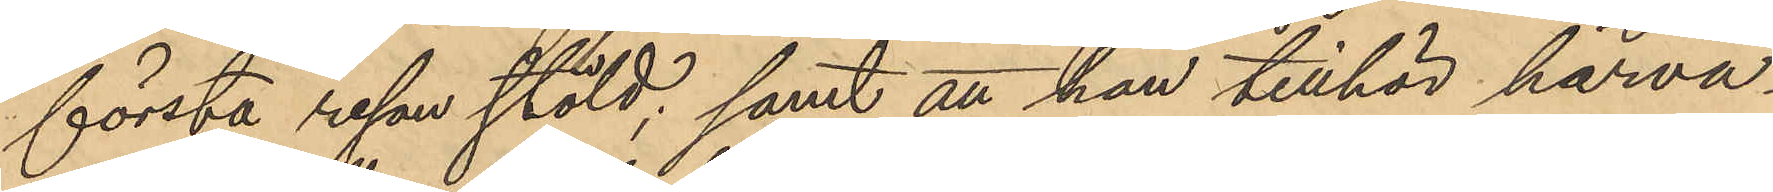första resan stöld; samt att han tillhör härva¬
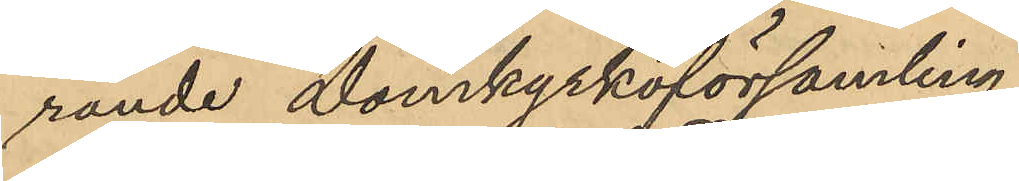rande Domkyrkoförsamling.
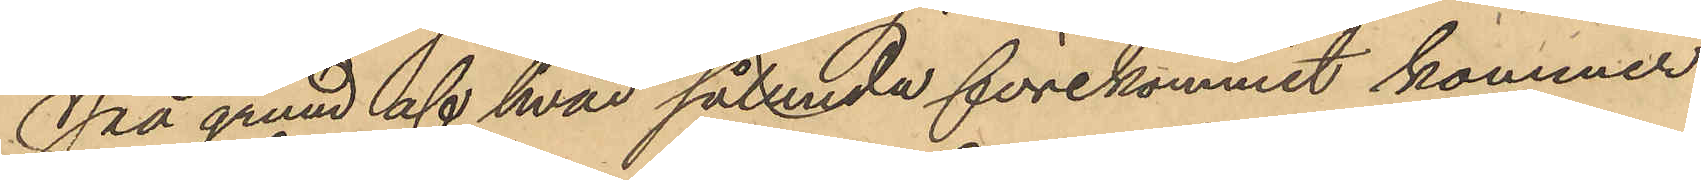På grund af hvad sålunda förekommit kommer
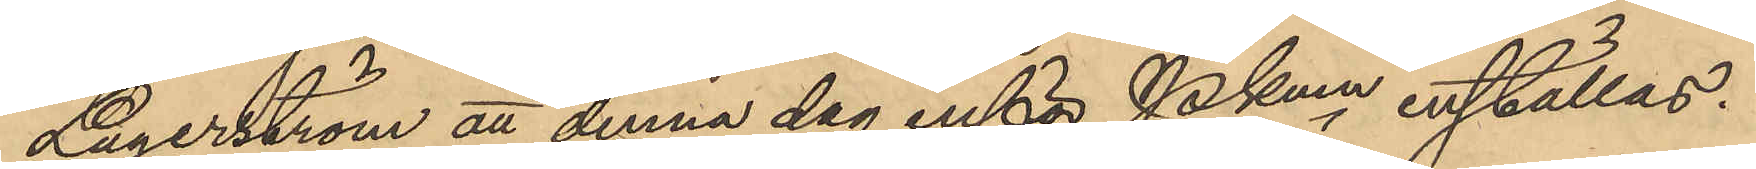Lagerström att denna dag inför Pkmn inställas.
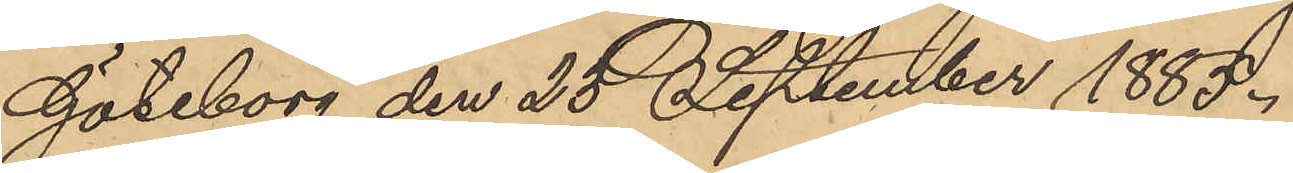Göteborg den 25 September 1885.
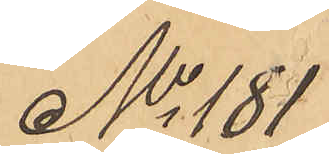No 181
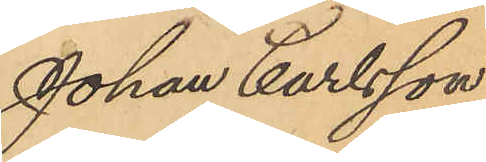Johan Carlsson
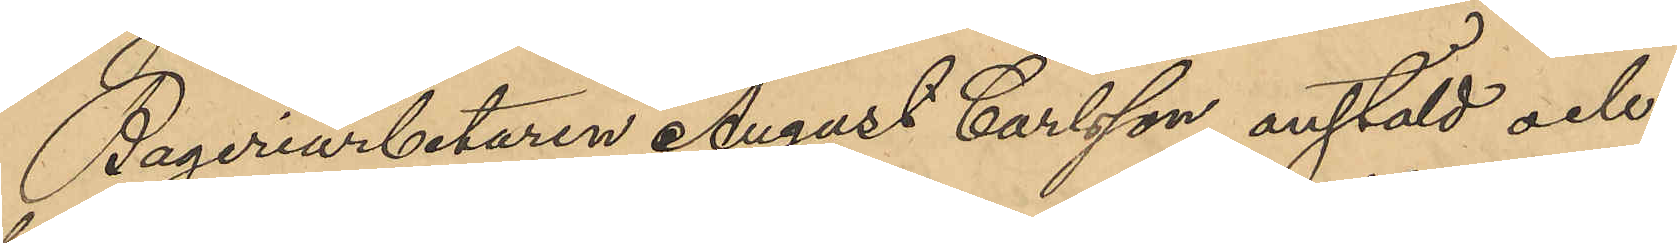Bageriarbetaren August Carlsson anstäld och
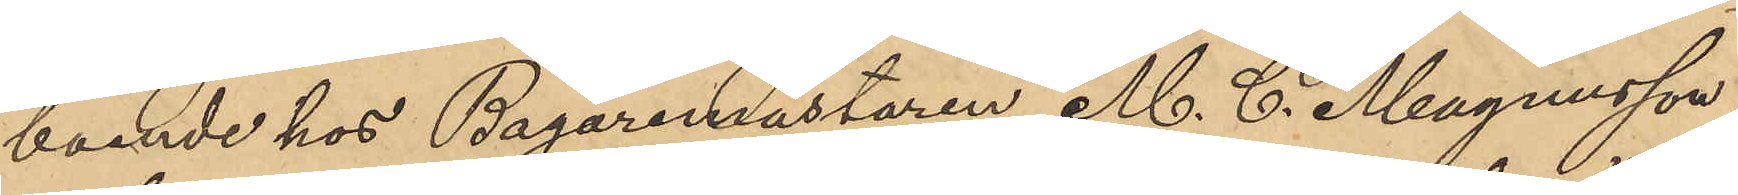boende hos Bagaremästaren M. C. Magnusson
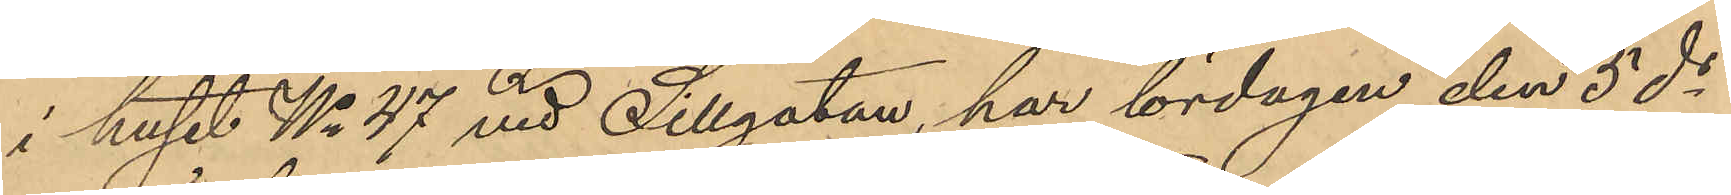i huset No 47 vid Sillgatan, har lördagen den 5 ds
